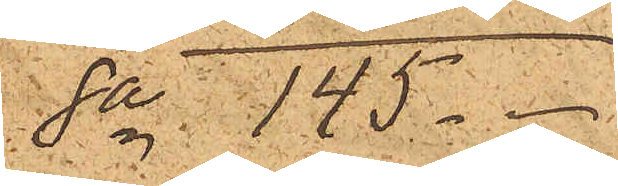Sa 145
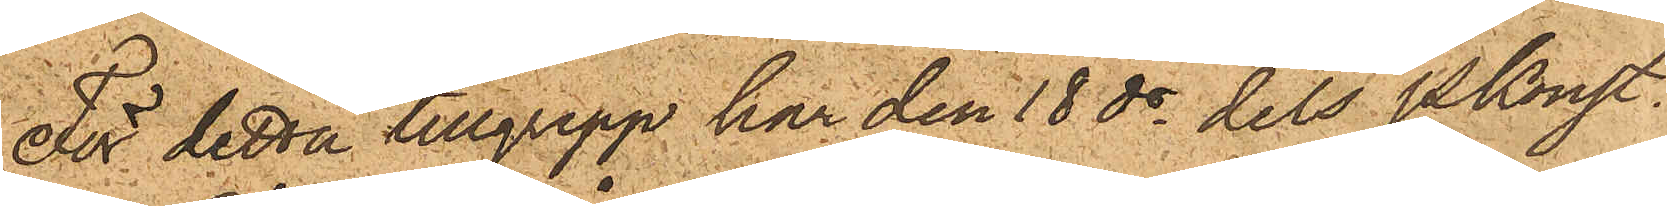För detta tillgrepp har den 18 ds dels PKonstl.
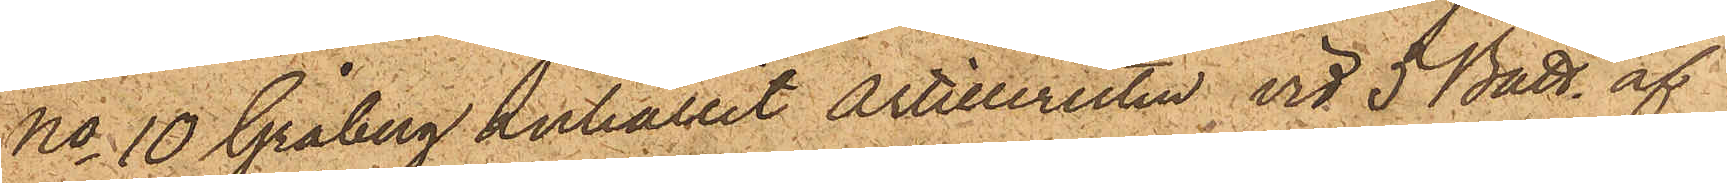No 10 Gråberg anhållit artilleristen vid 5 Batt. af
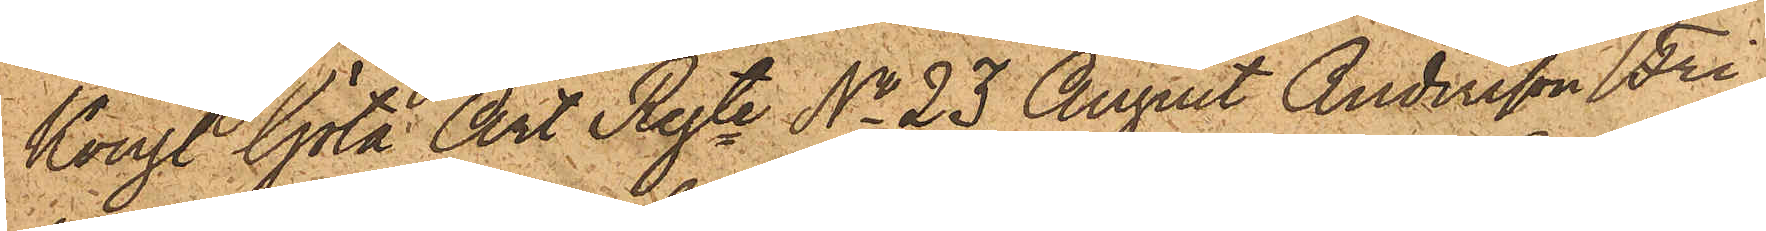Kongl Göta Art Regte No 23 August Andersson Fri¬
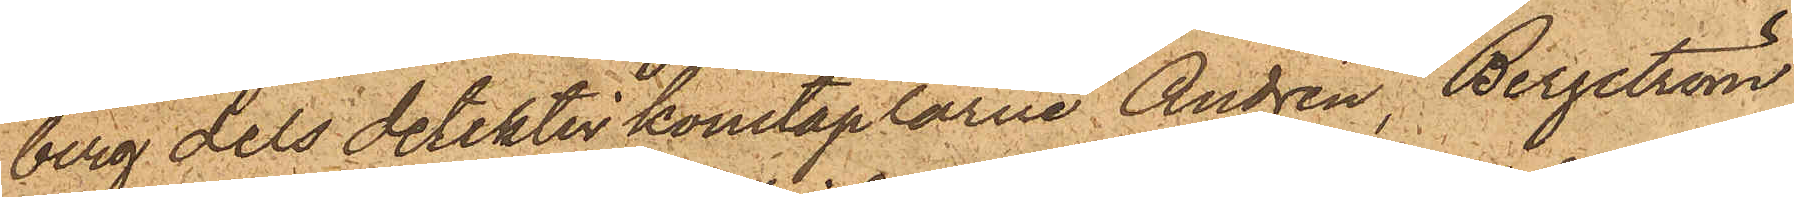berg dels detektivkonstaplarne Andrén, Bergström
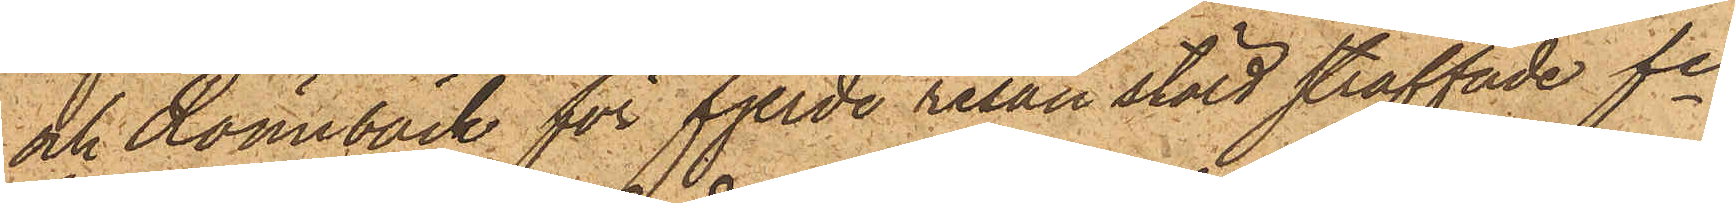och Rönnbäck för fjerde resan stöld straffade fre
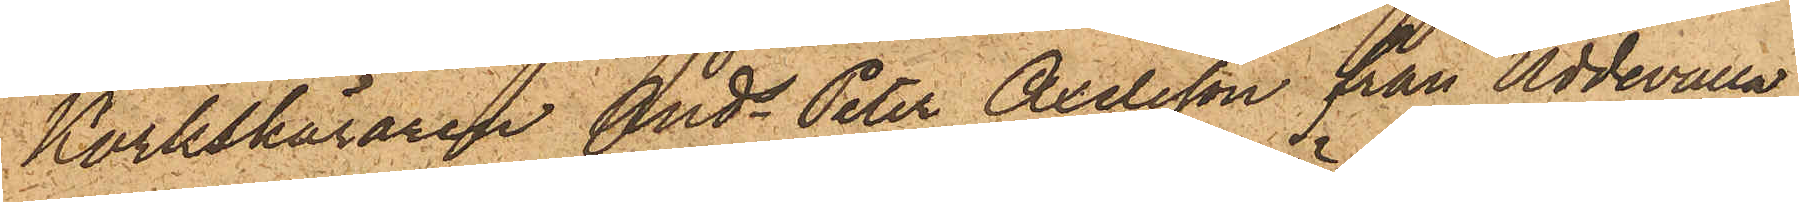Korkskäraren Ands Peter Axelsson från Uddevalla,
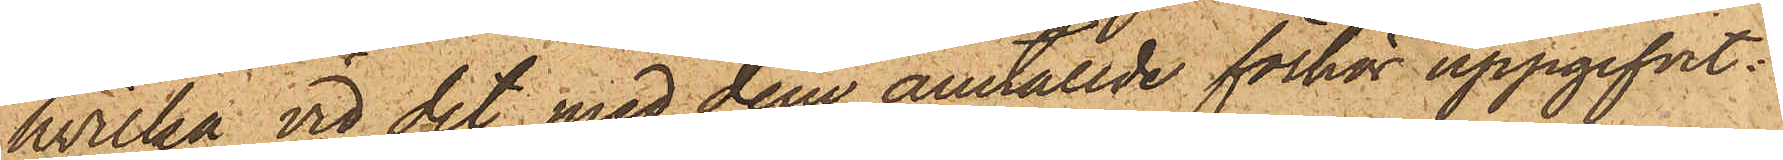hvilka vid det med dem anställde förhör uppgifvit:
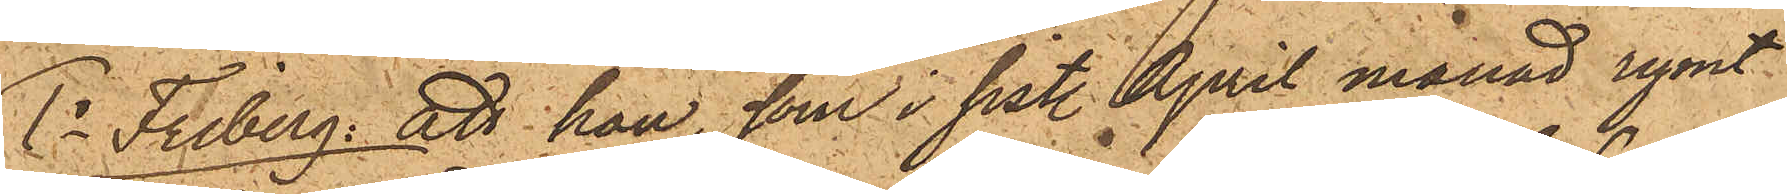1o Friberg: att han, som i sist. April månad rymt
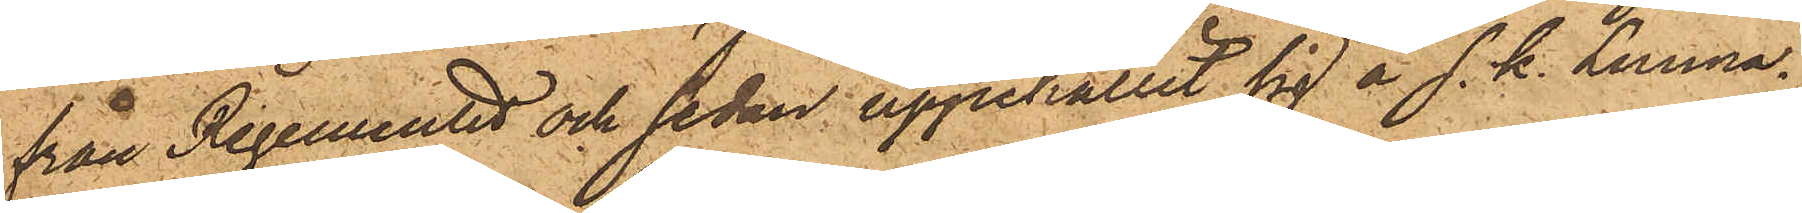från Regementet och sedan uppehållit sig å s. k. Lunna¬
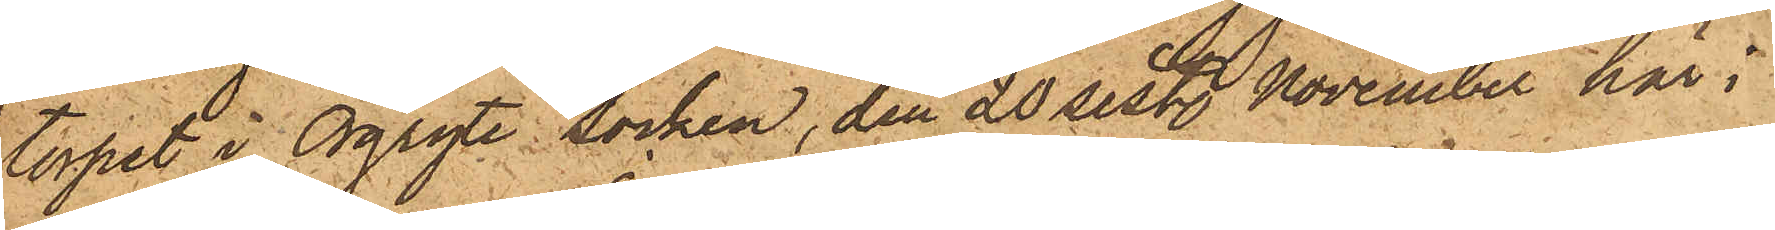torpet i Örgryte Socken, den 20 sist. November här i
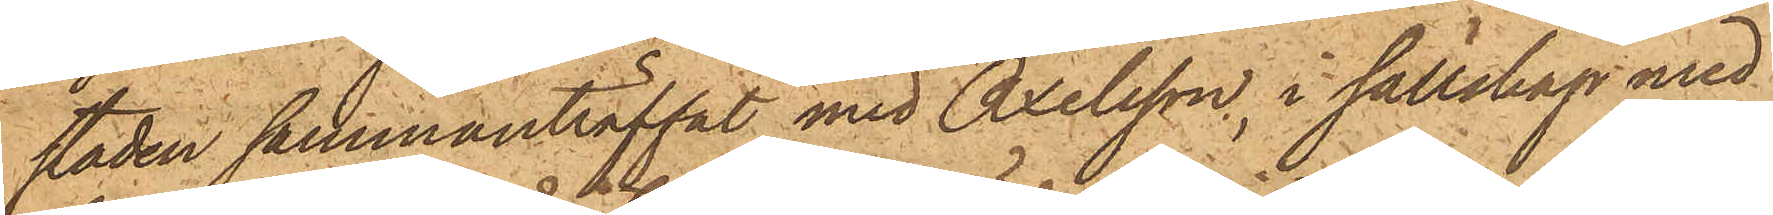staden sammanträffat med Axelsson, i sällskap med
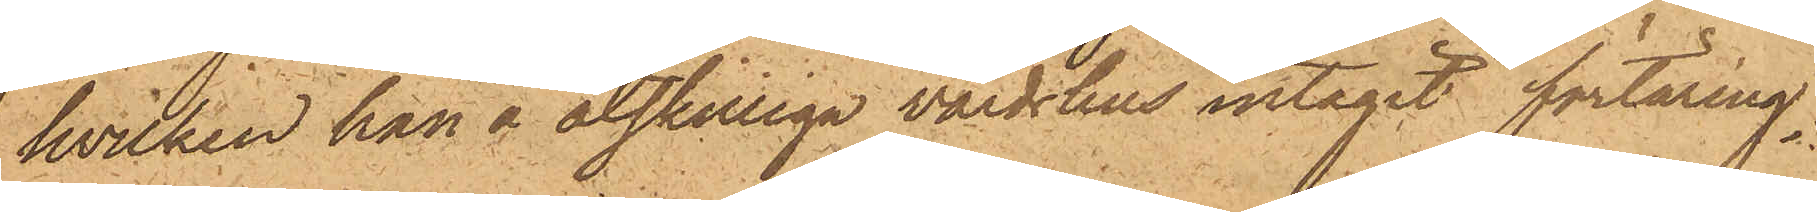hvilken han å åtskilliga värdshus intagit förtäring;
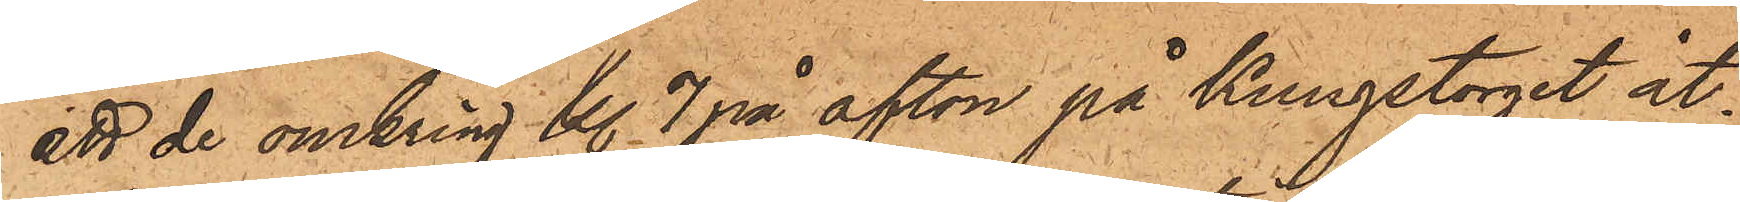att de omkring kl. 7 på afton på Kungstorget åt¬
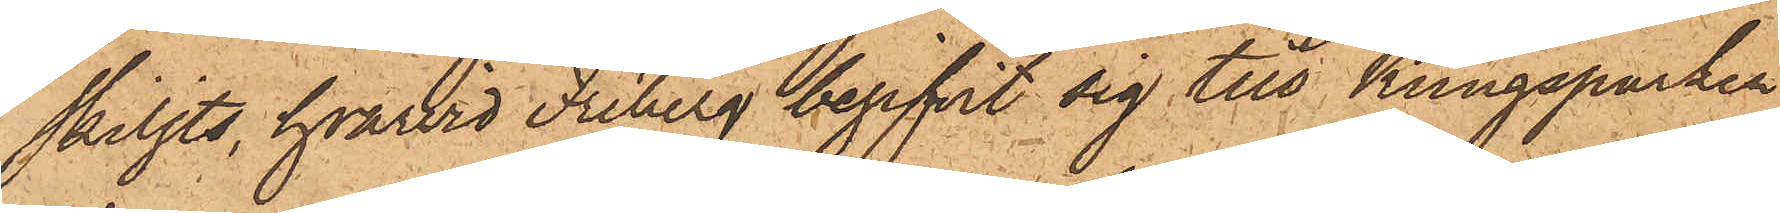skiljts, hvarvid Friberg begifvit sig till Kungsparken
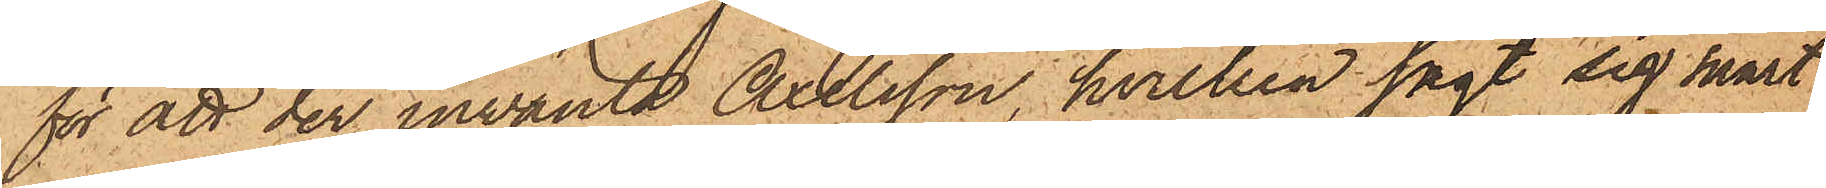för att der invänta Axelsson, hvilken sagt sig snart
